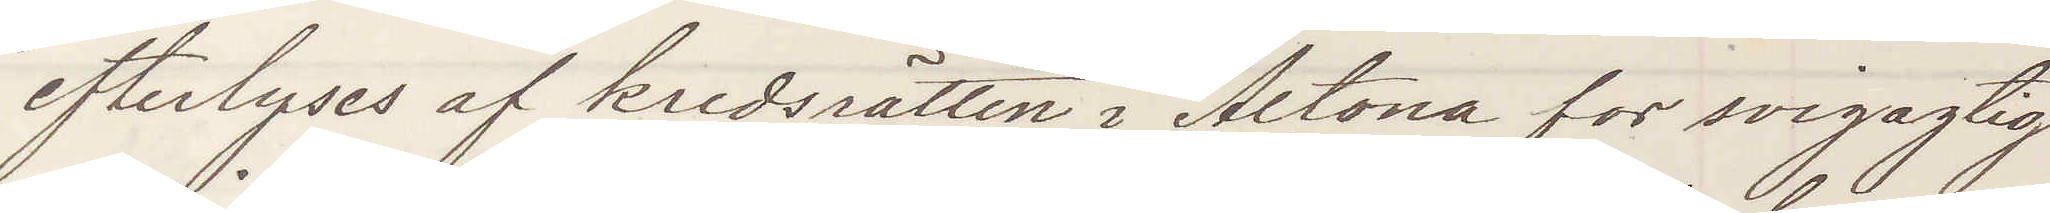efterlyses af kredsrätten i Altona for svigagtig
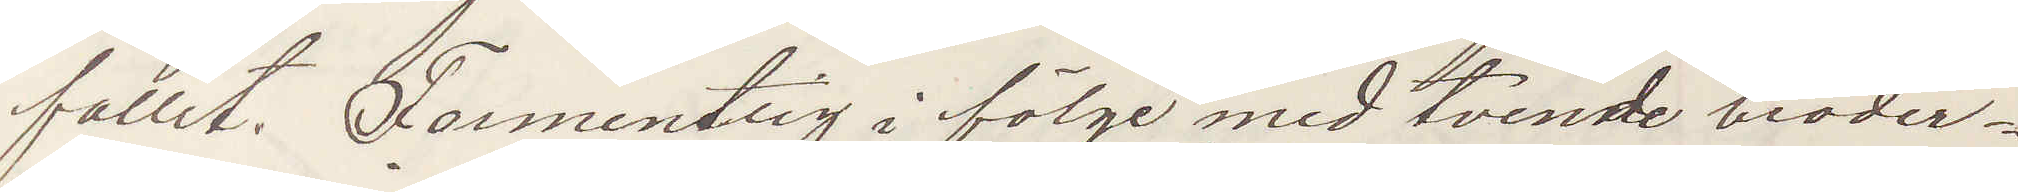fallit. Formentlig i fölge med tvende broder¬
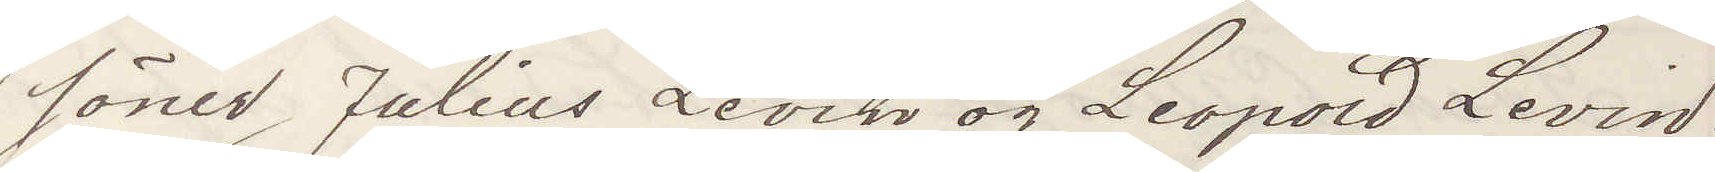söner Julius Levin og Leopold Levin.
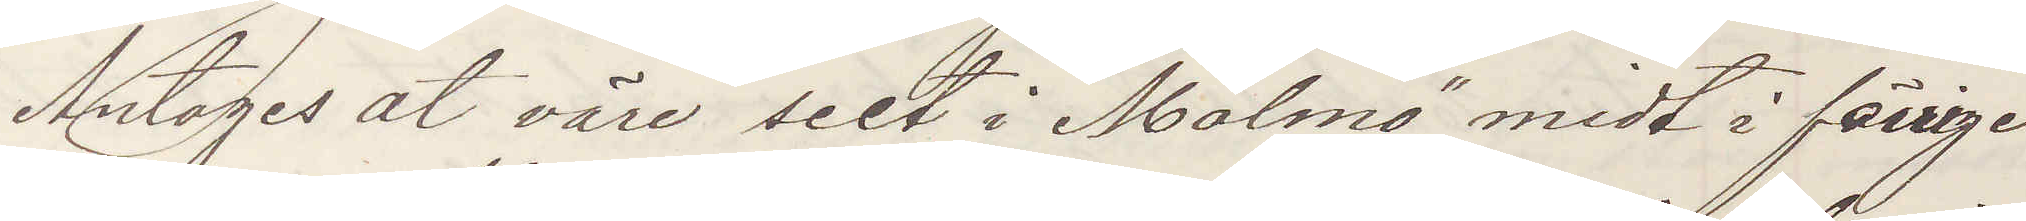Antages at väre seet i Malmö midt i förrige
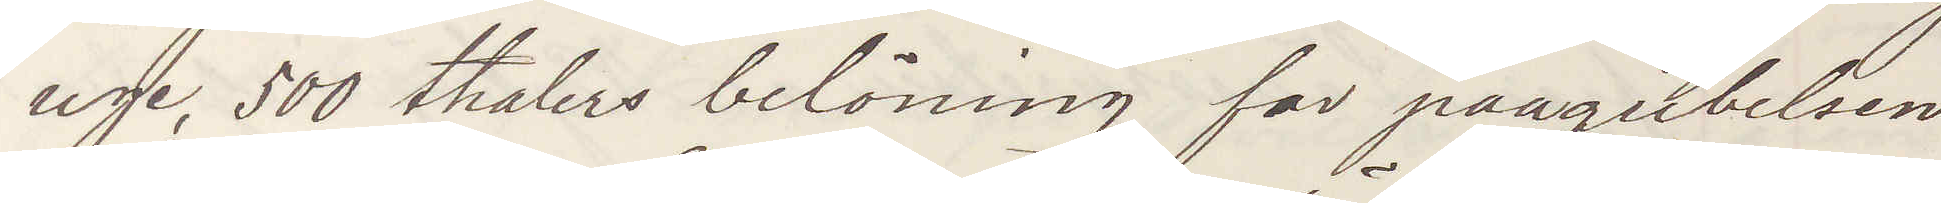uge, 500 thalers belöning for paagribelsen
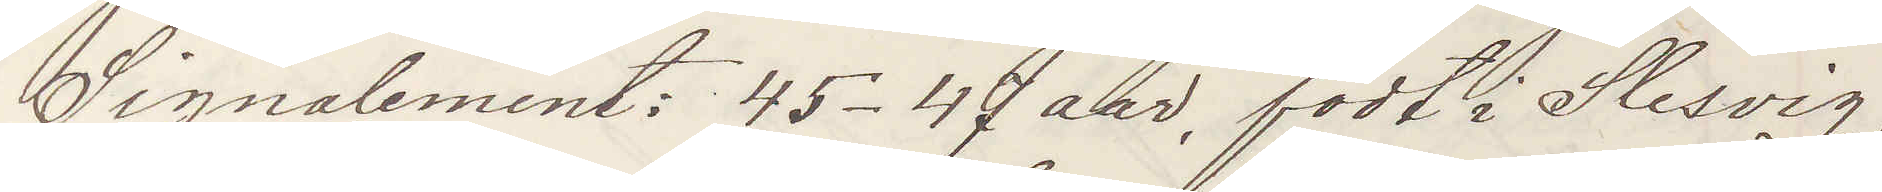Signalement: 45-47 aar, födt i Slesvig;
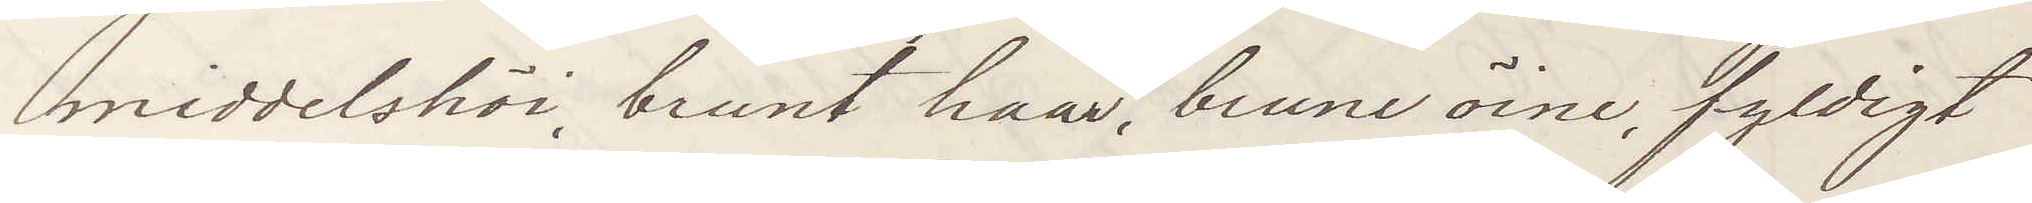middelshöi, brunt haar, brune öine, fyldigt
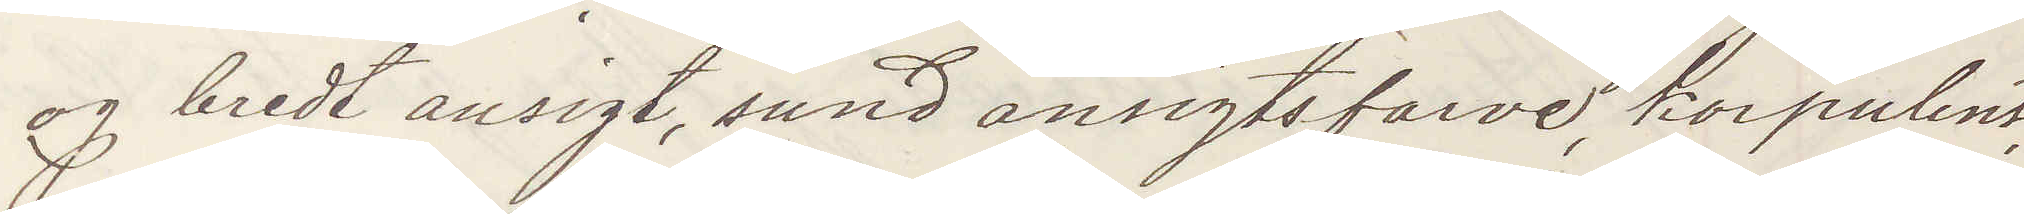og bredt ansigt, sund ansigtsfarve, korpulent,
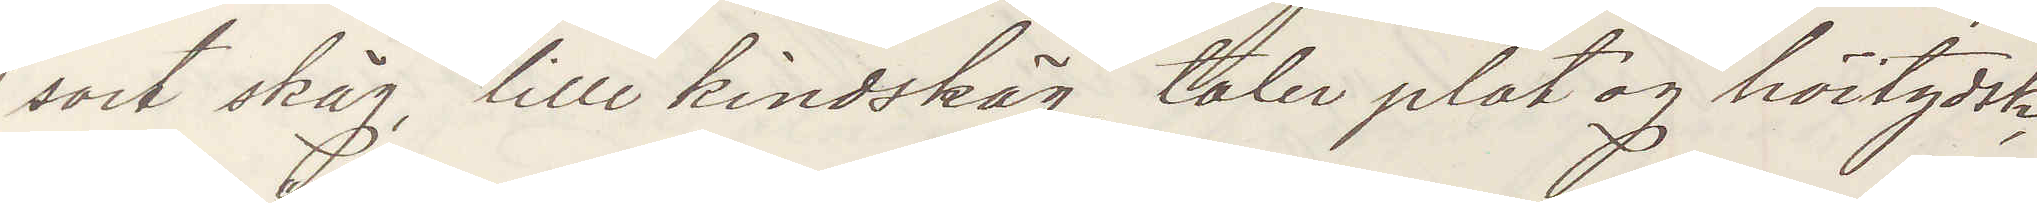sort skäg, lille kindskäg, taler plat og höitydsk,
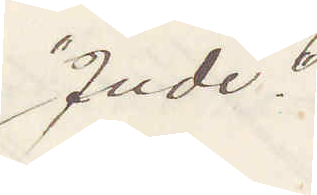"Jude".
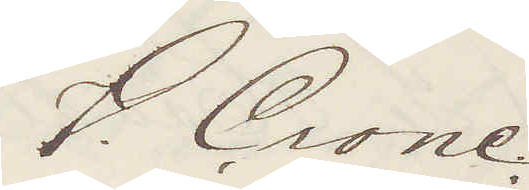V. Crone
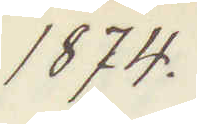1874
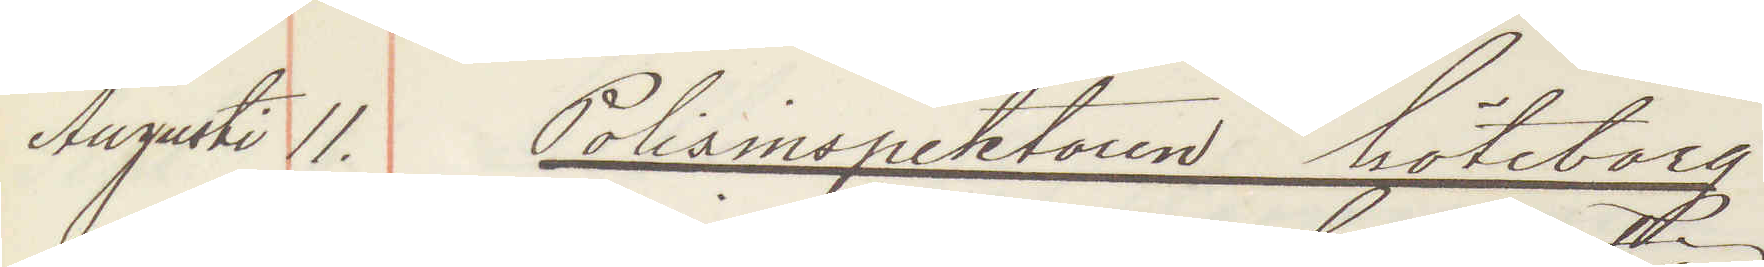Augusti 11. Polisinspektorn Göteborg
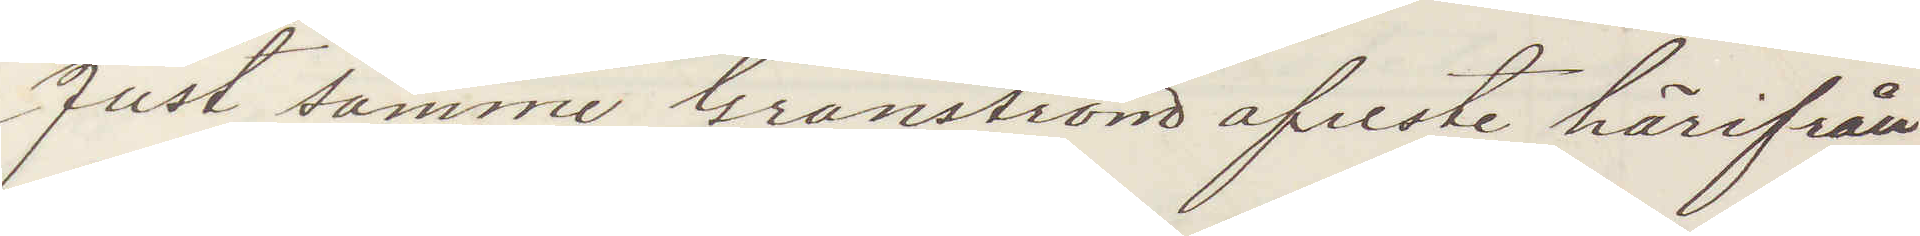Just samme Granström afreste härifrån
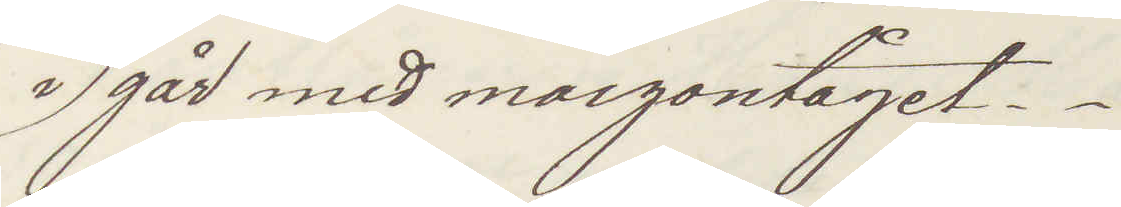i går med morgontåget.
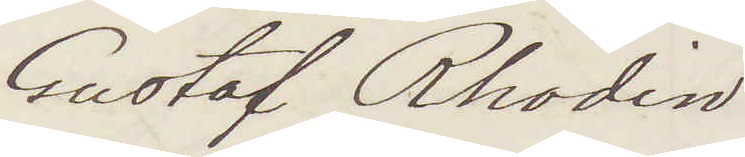Gustaf Rhodin
